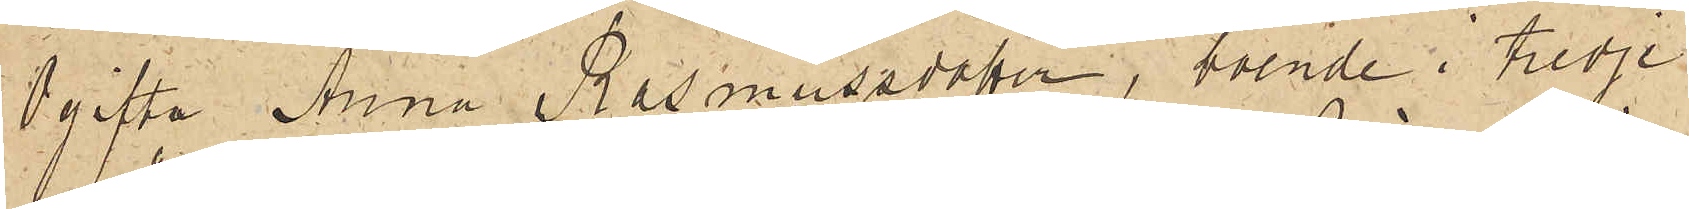Ogifta Anna Rasmussdotter, boende i tredje
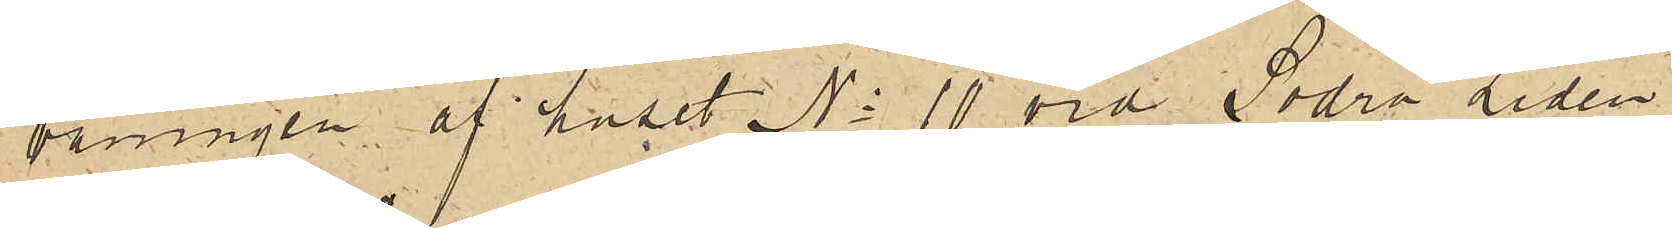våningen af huset No 10 vid Södra Liden,
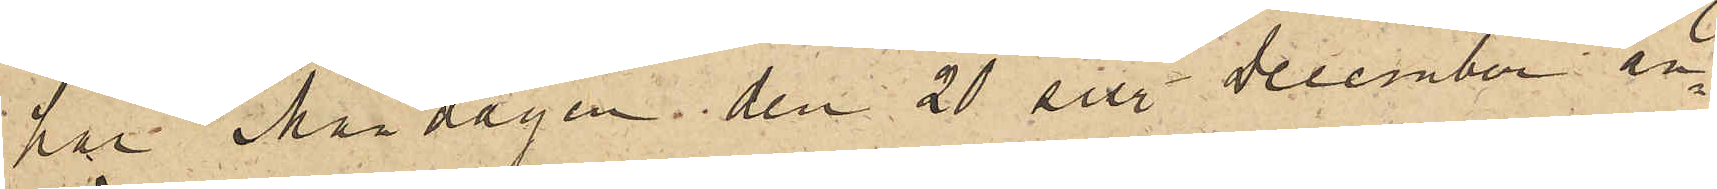har Måndagen den 20 sist. December an¬
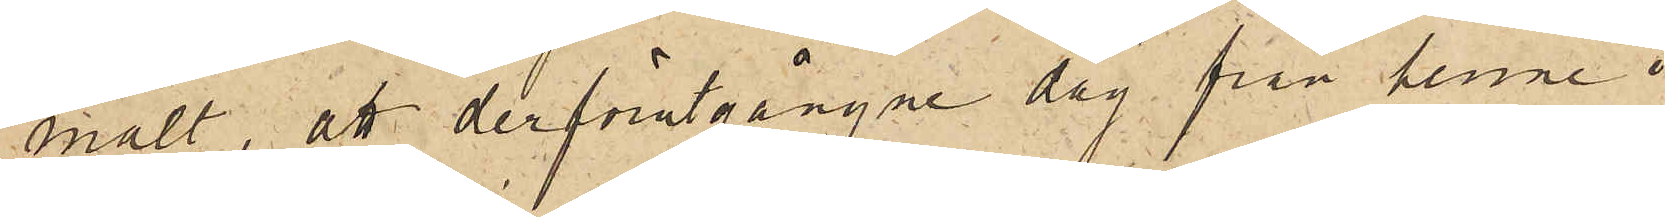mält, att derförutgångne dag från henne i
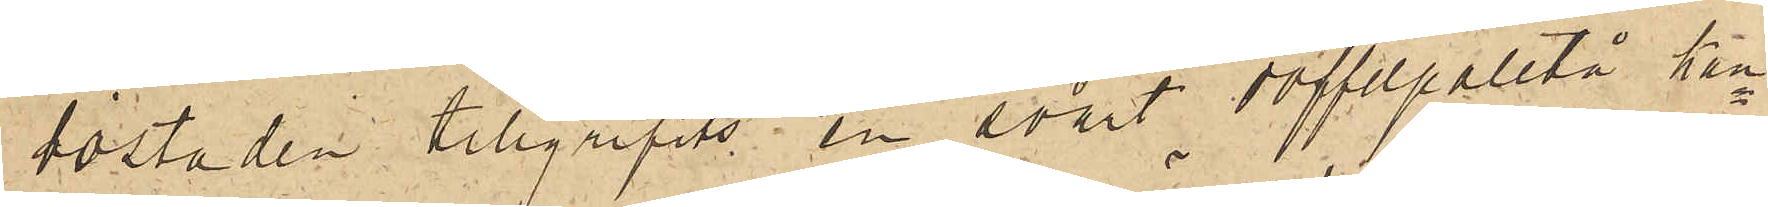bostaden tillgripits en svart doffelpaletå, kan¬
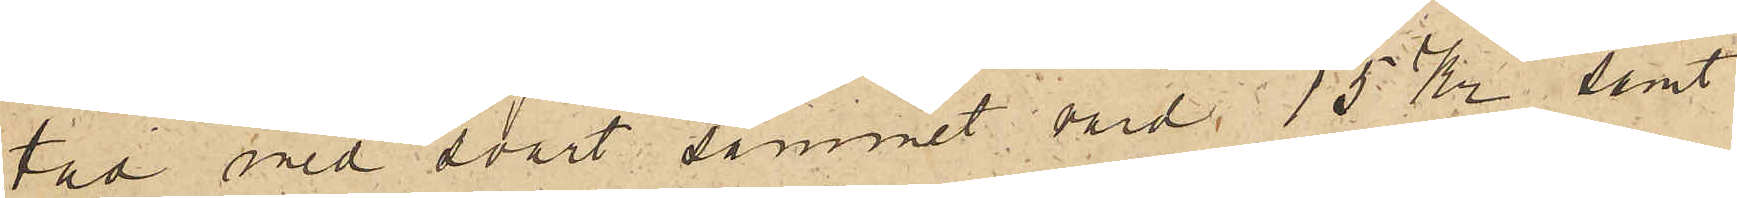tad med svart sammet värd 15 Kr samt
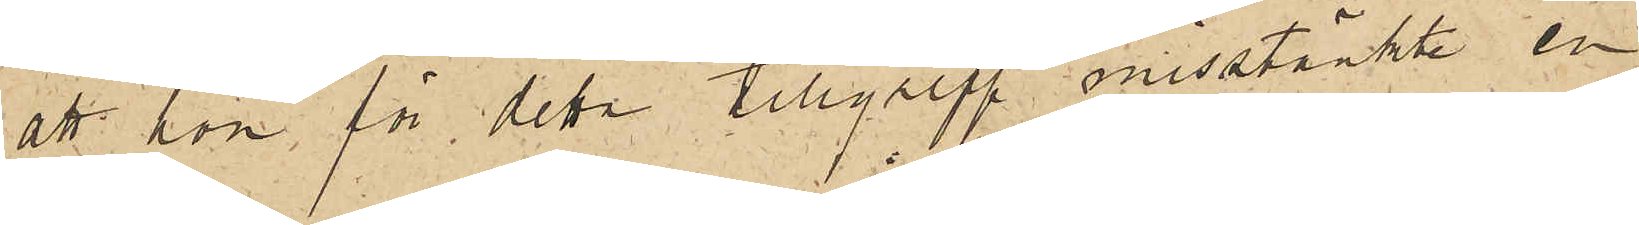att hon för detta tillgrepp misstänkte en
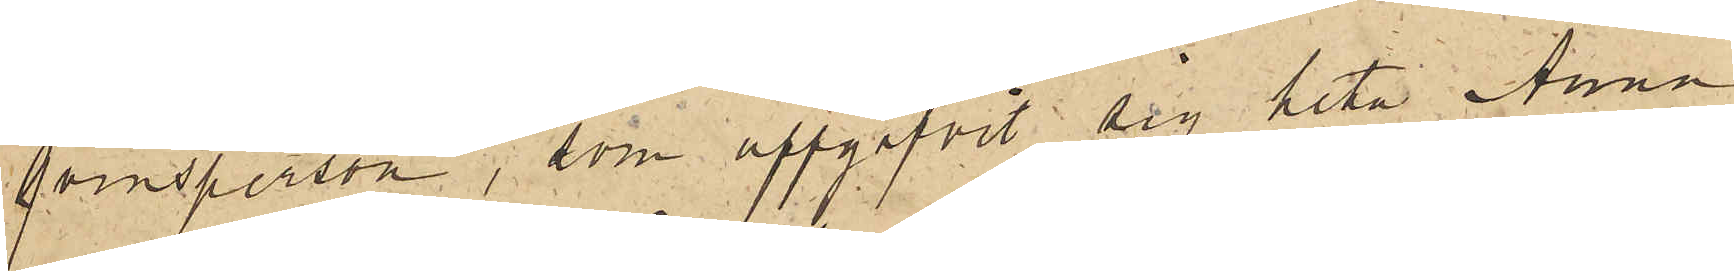qvinsperson, som uppgifvit sig heta Anna
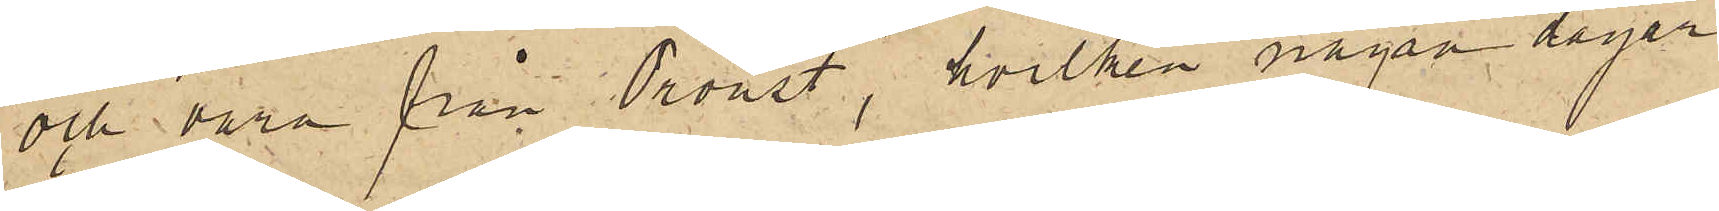och vara från Oroust, hvilken några dagar
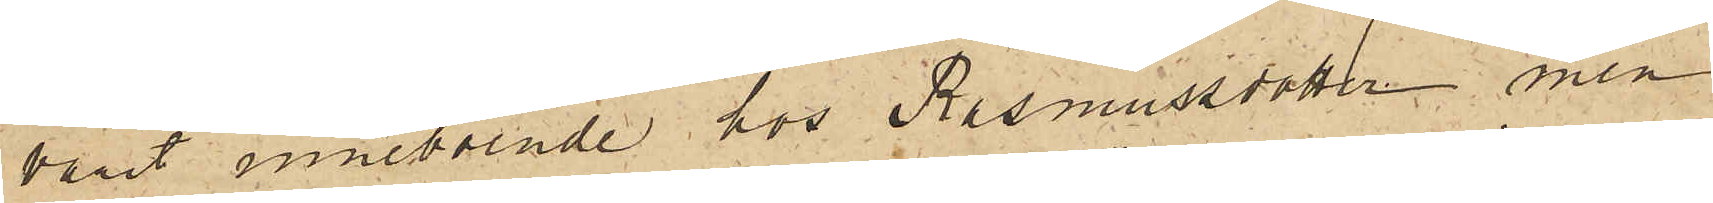varit inneboende hos Rasmussdotter men
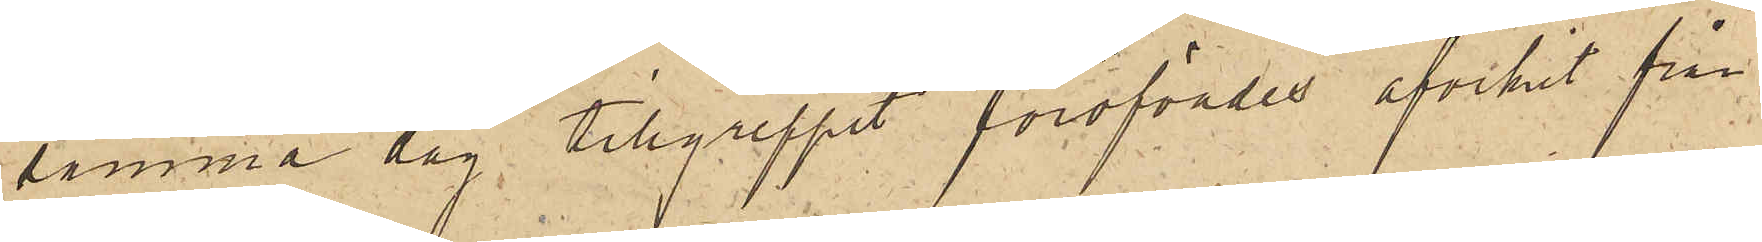samma dag tillgreppet föröfvades afvikit från
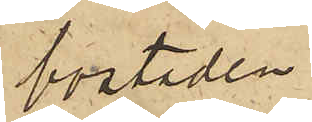bostaden.
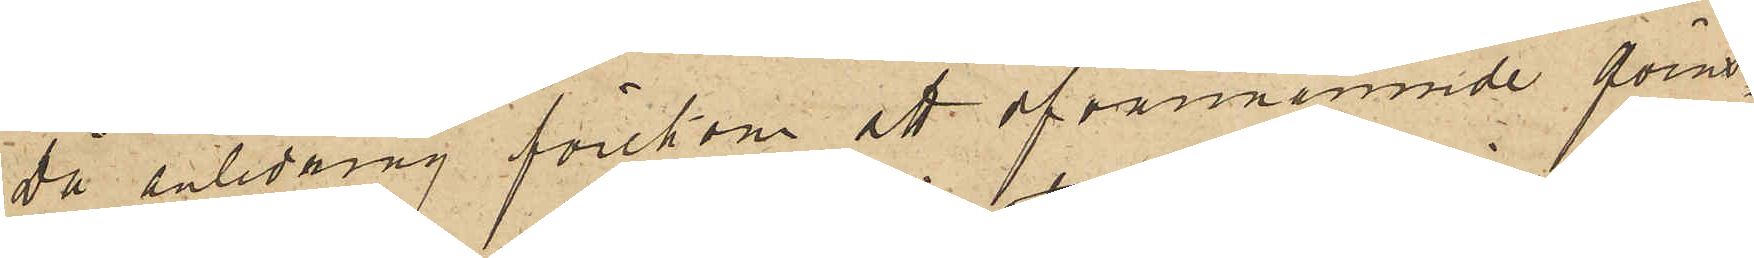Då anledning förekom att ofvannämnde qvins¬
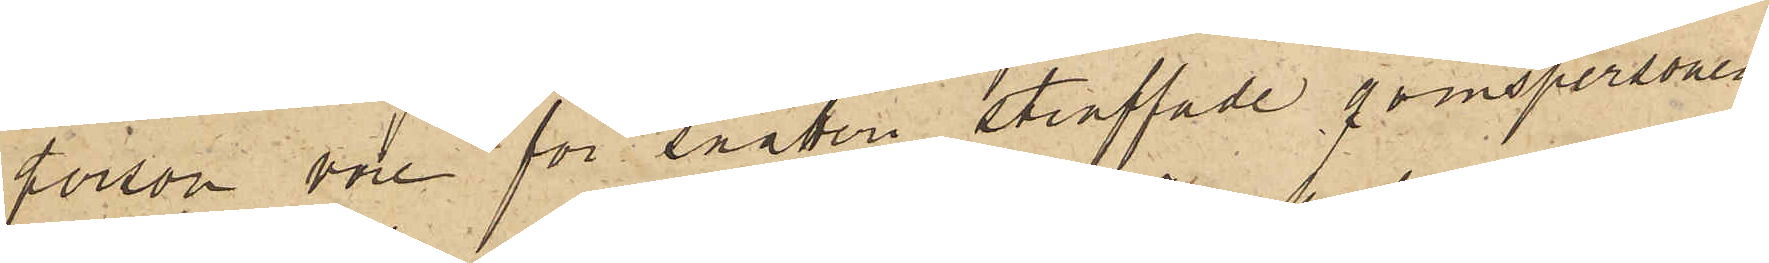person vore för snatteri straffade qvinspersonen
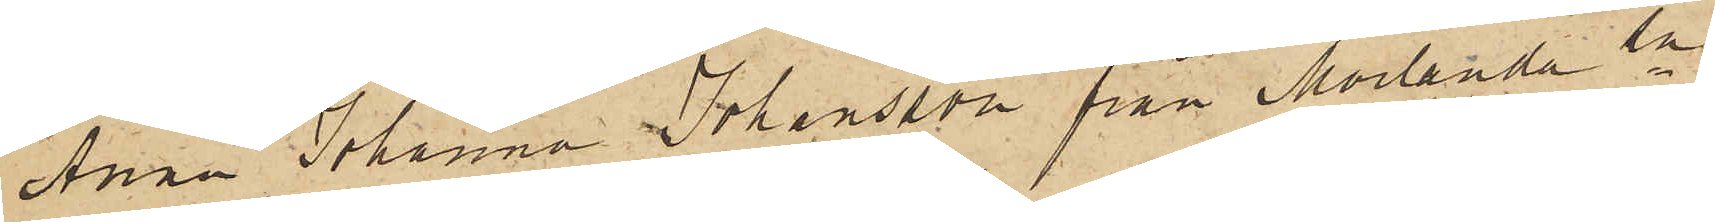Anna Johanna Johansson från Morlanda sn
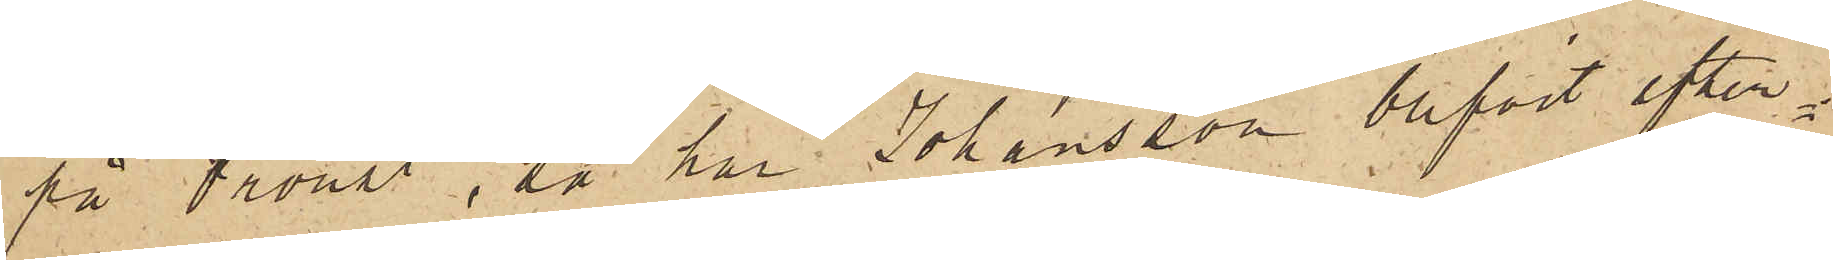på Oroust, så har Johansson blifvit efter¬
